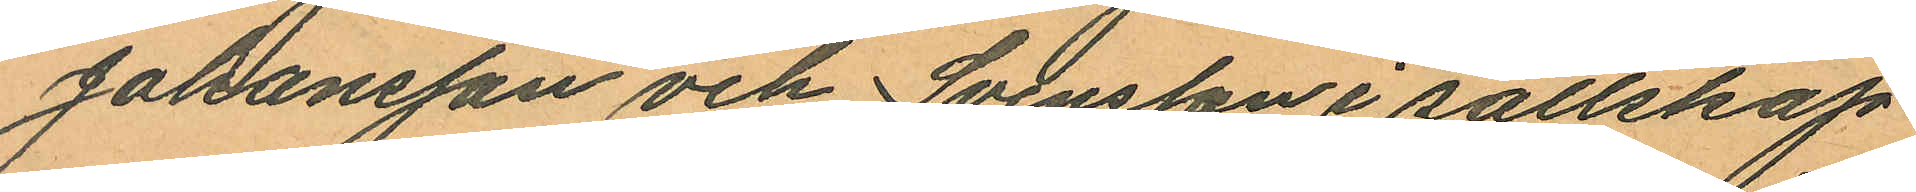Johansson och Svensson i sällskap
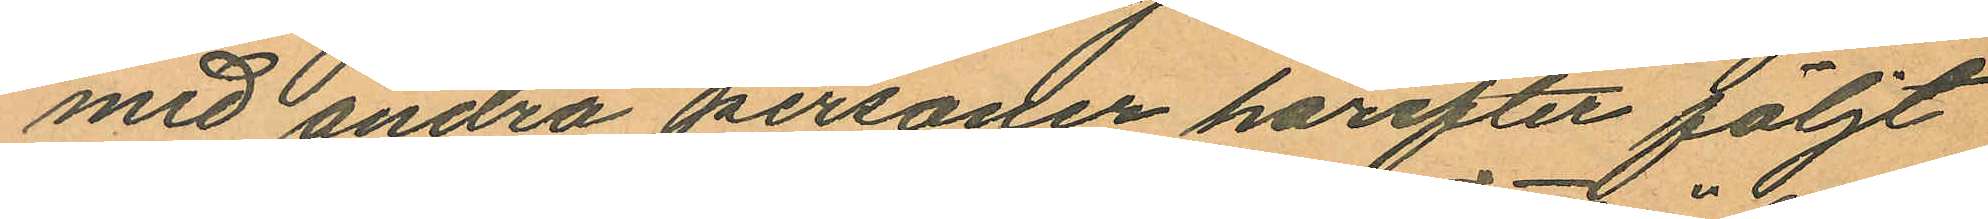med andra personer härefter följt
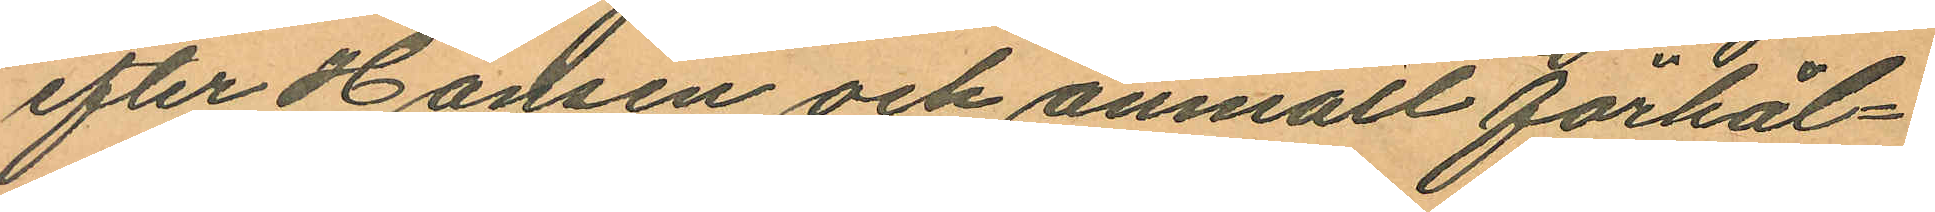efter Hansen och anmält förhål¬
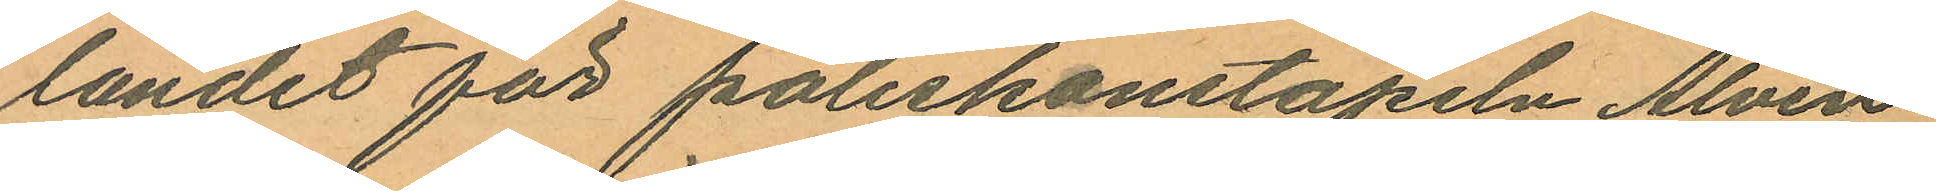landet för poliskonstapeln Alvin
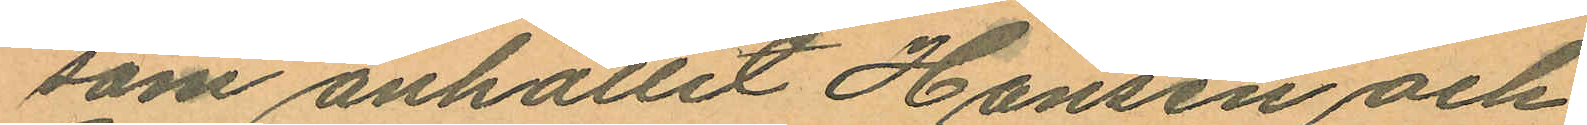som anhållit Hansen och
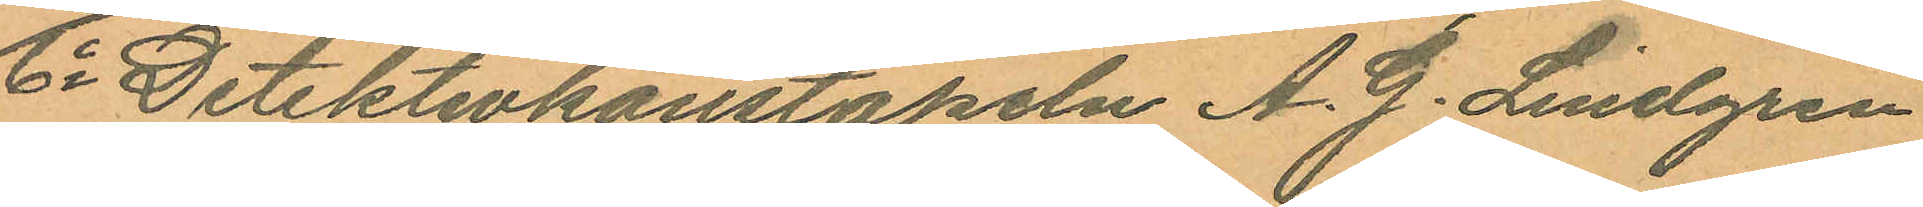6o Detektivkonstapeln A. G. Lindgren
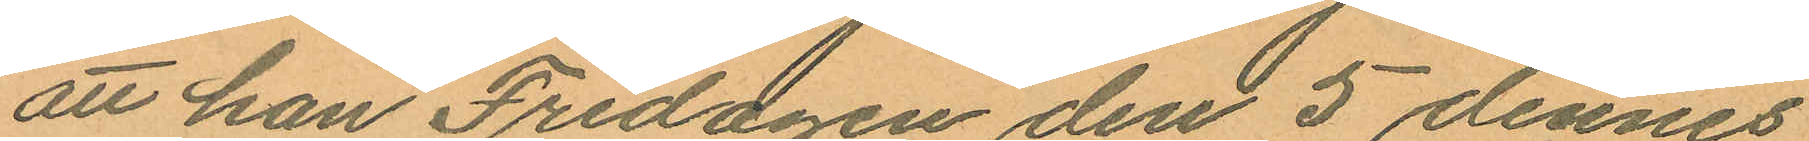att han Fredagen den 5 dennes
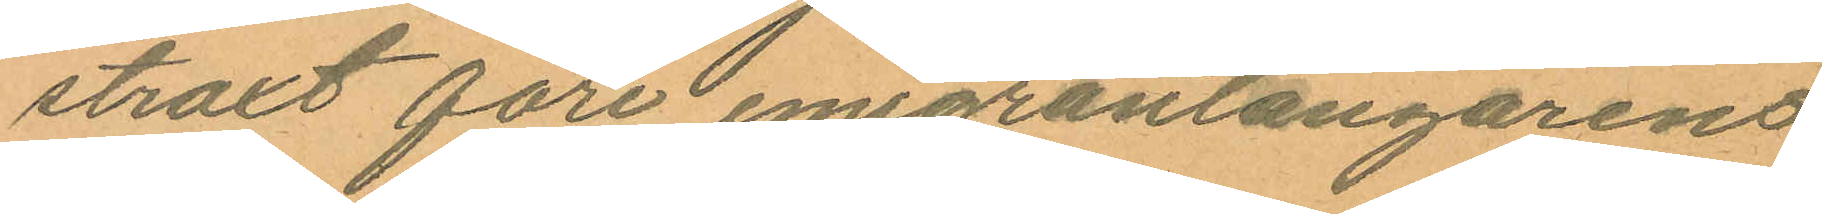straxt före emigrantångarens
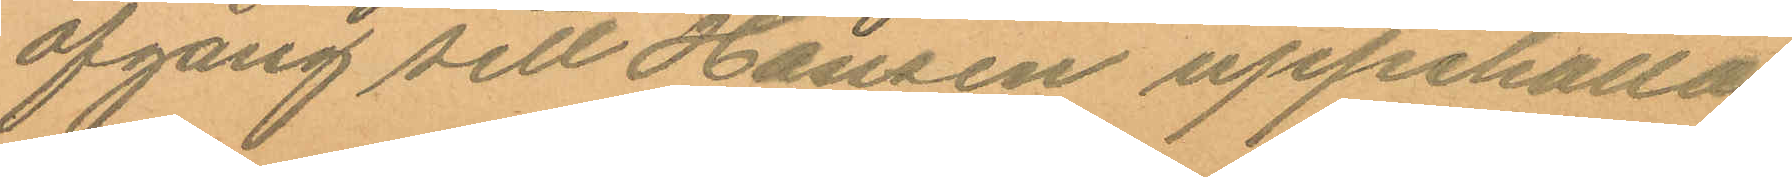afgång sett Hansen uppehålla
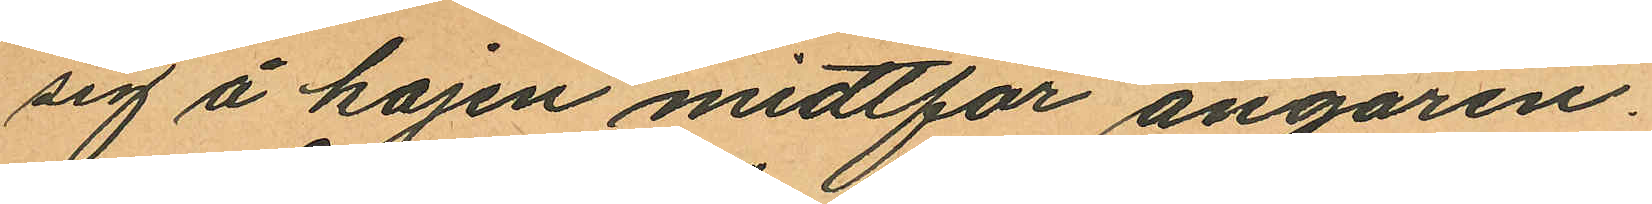sig å kajen midtför ångaren.
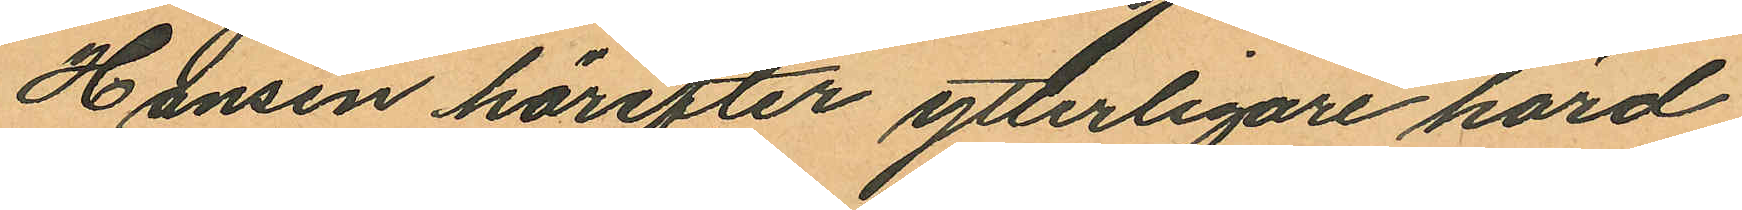Hansen härefter ytterligare hörd
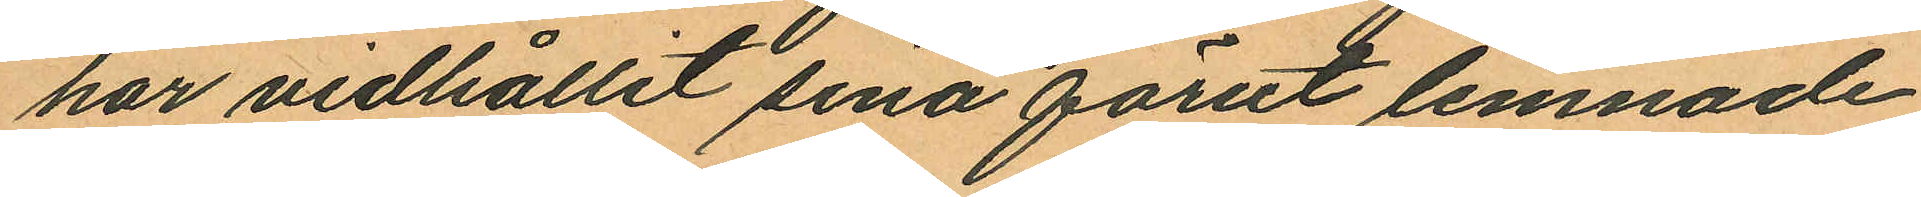har vidhållit sina förut lemnade
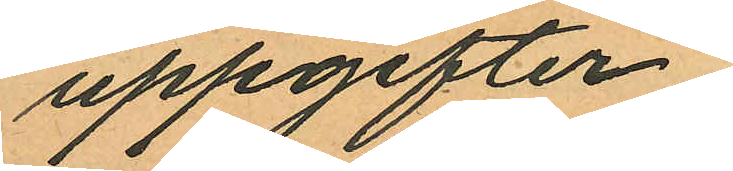uppgifter.
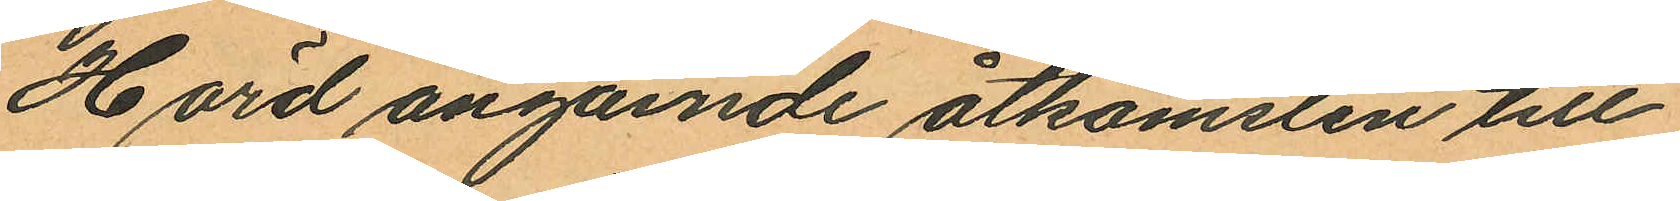Hörd angående åtkomsten till
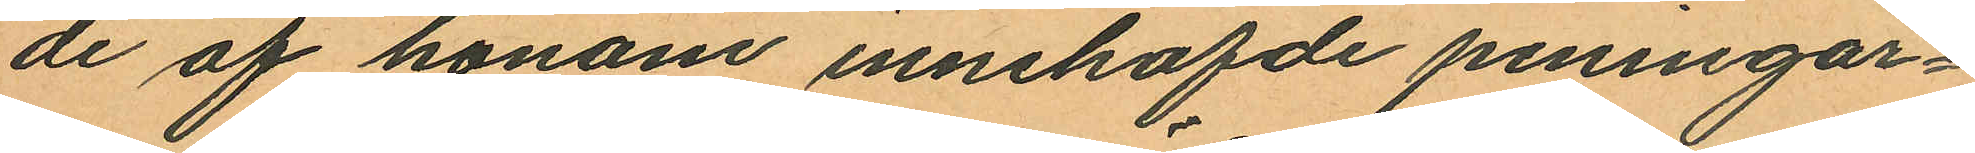de af honom innehafde pennigar¬
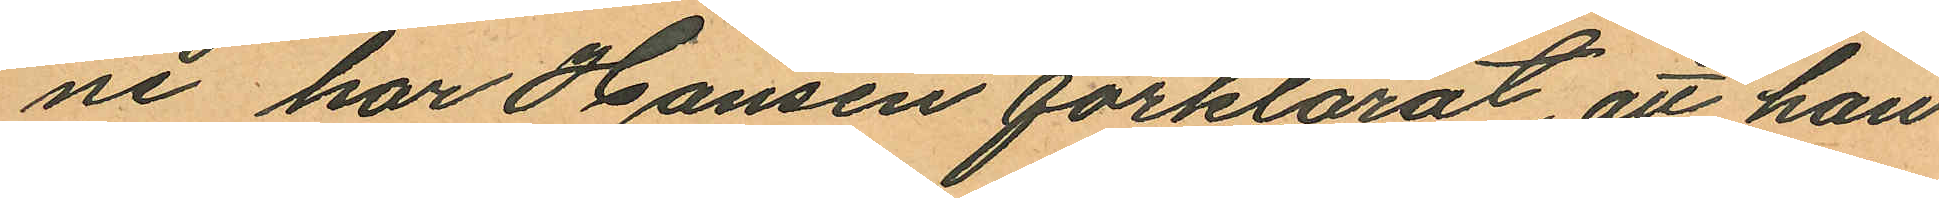ne har Hansen förklarat, att han
